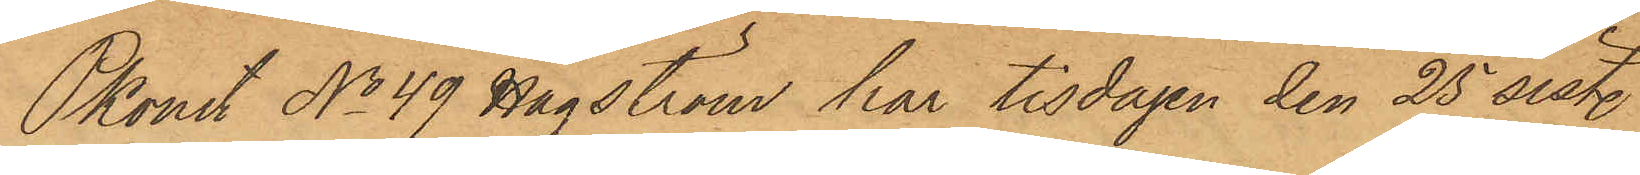Pkonst No 49 Hagström har tisdagen den 25 sist.
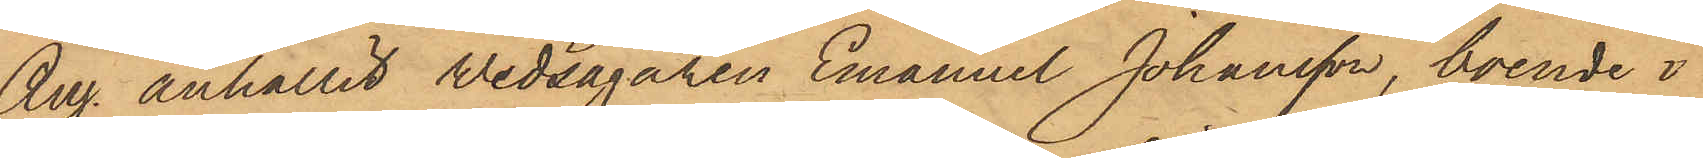Aug. anhållit wedsågaren Emanuel Johansson, boende i
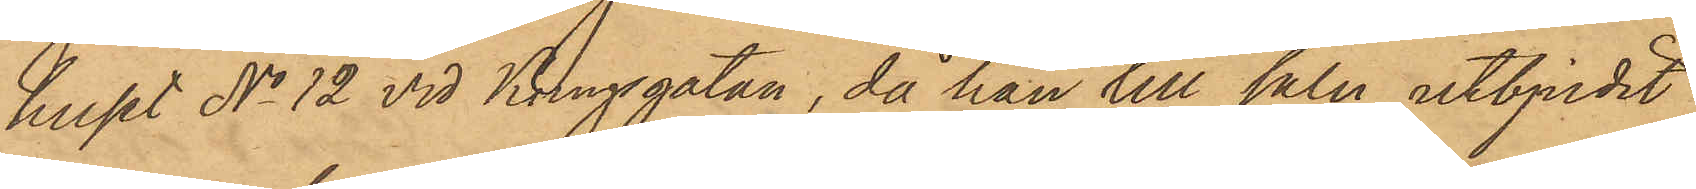huset No 12 vid Kungsgatan, då han till salu utbjudit
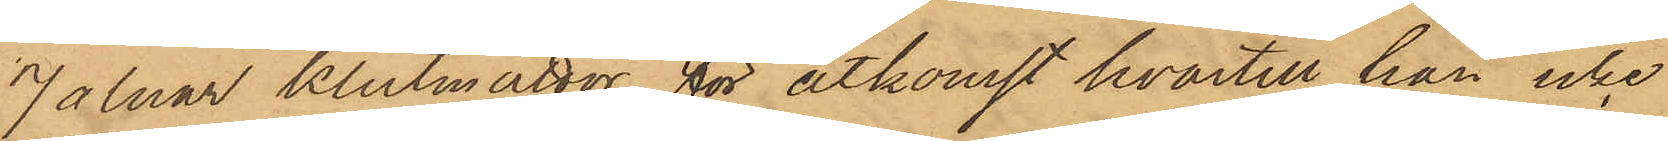7 alnar klutmattor, för åtkomst hvartill han icke
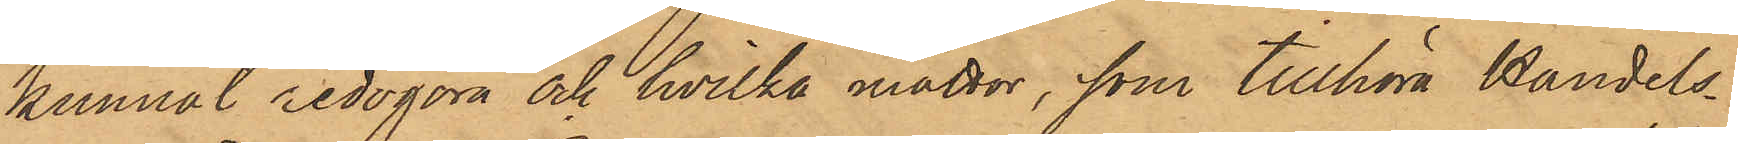kunnat redogöra och hvilka mattor, som tillhöra Handels¬
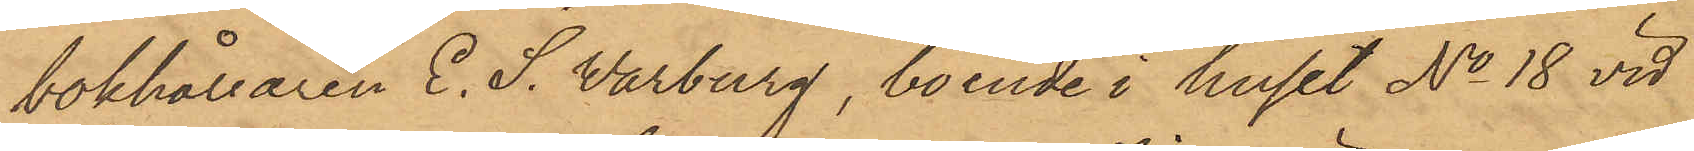bokhållaren E. S. Warburg, boende i huset No 18 vid
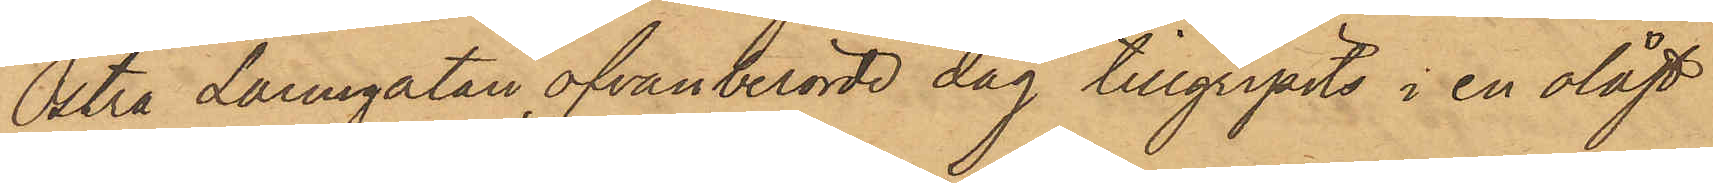Östra Larmgatan, ofvanberörde dag tillgripits i en olåst
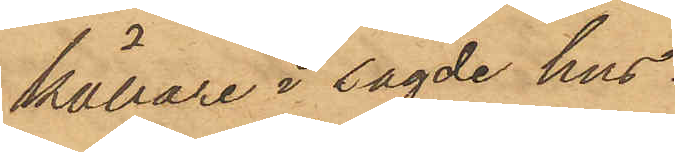källare i sagde hus.
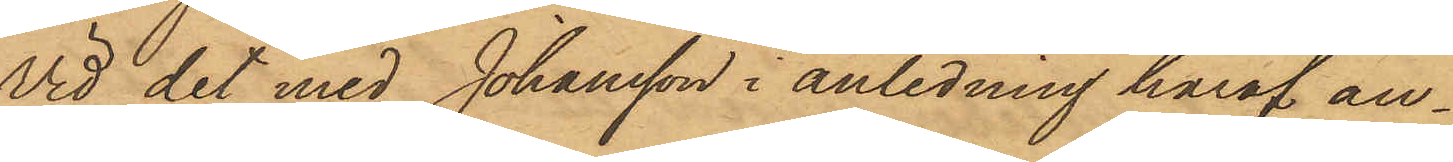Vid det med Johansson i anledning häraf an¬
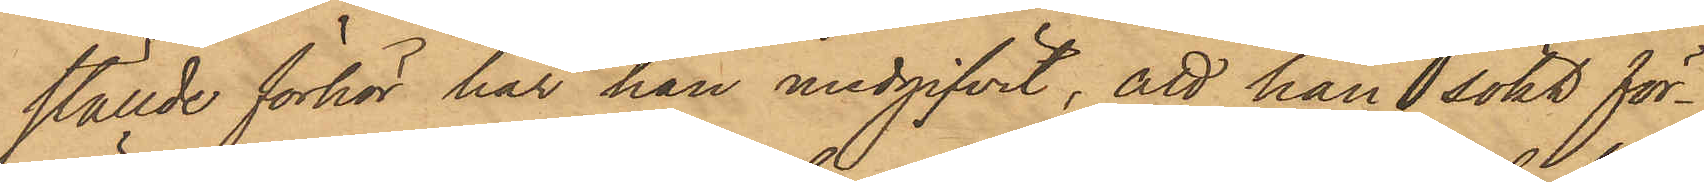ställde förhör har han medgifvit, att han sökt för¬
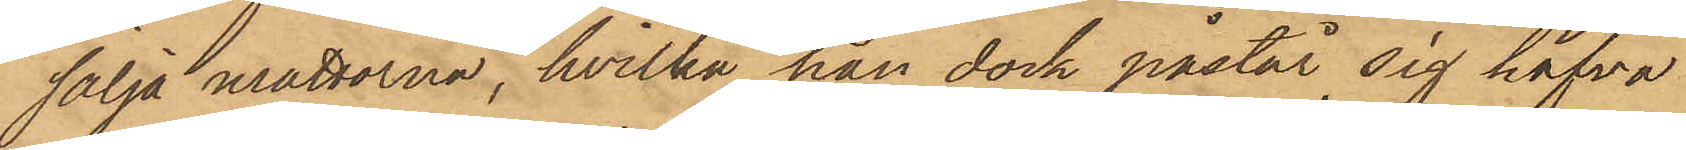sälja mattorna, hvilka han dock påstår sig hafva
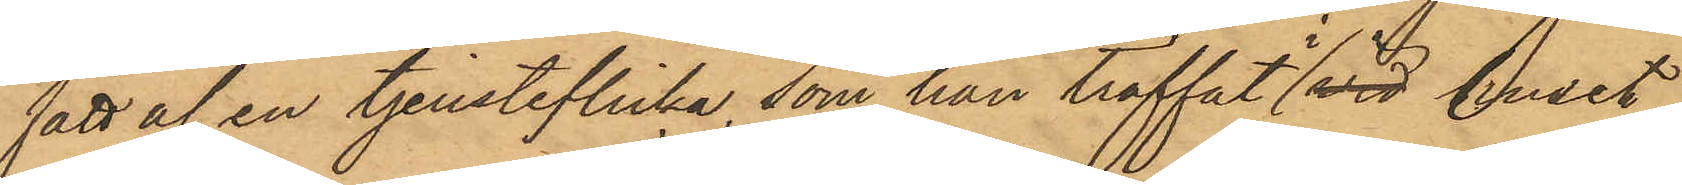fått af en tjensteflicka, som han träffat i vid huset
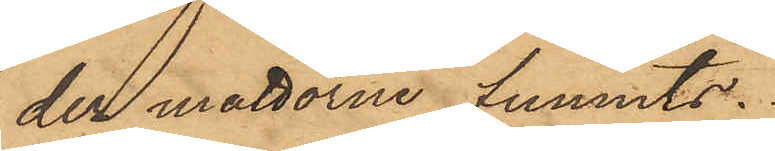der mattorne funnits.
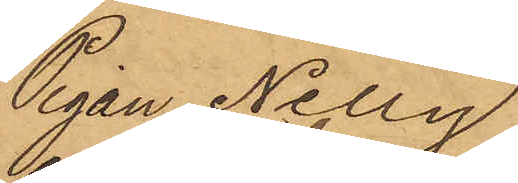Pigan Nelly
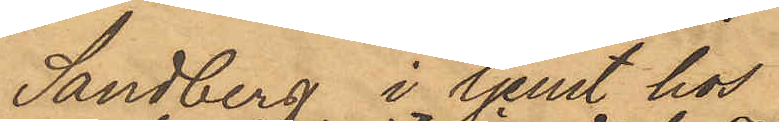Sandberg i tjänst hos
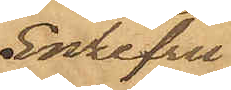Enkefru
